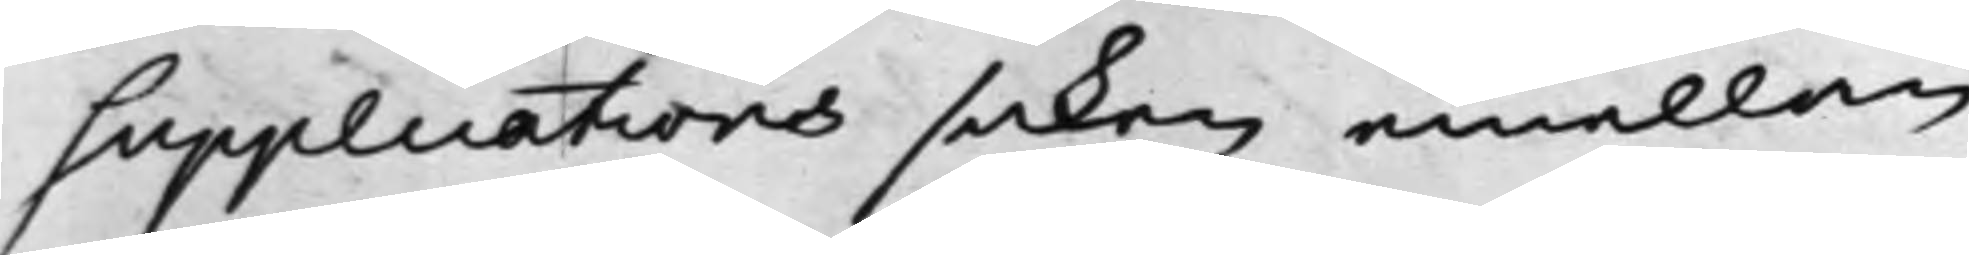supplications saken emellan
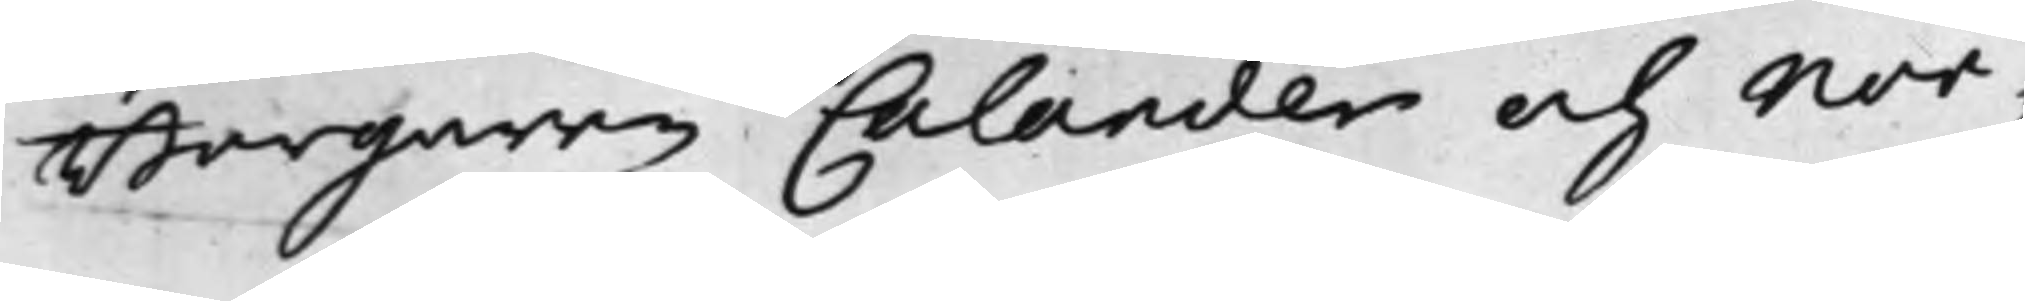Borgaren Calander och Nor¬
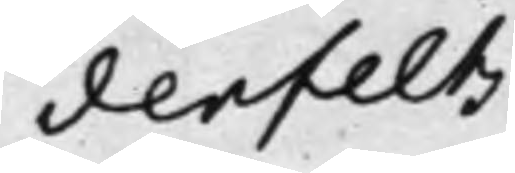denfelts
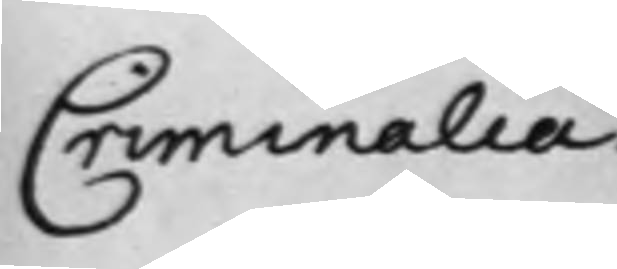Criminalia.
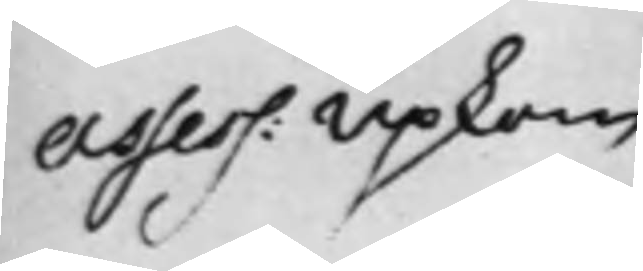Assess: Upkom
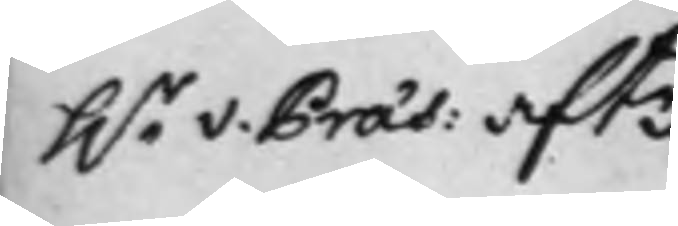h.r v. Præs: aftr
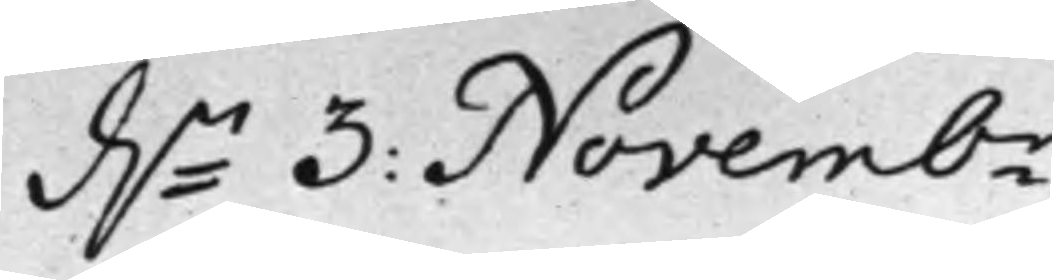d.n 3: Novembr
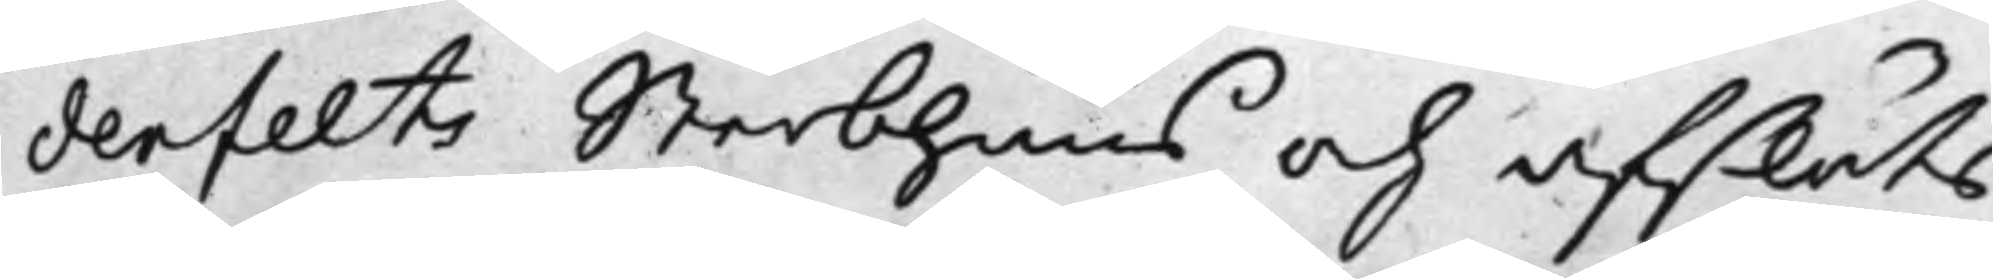denfelts Sterbhuus och afslöts
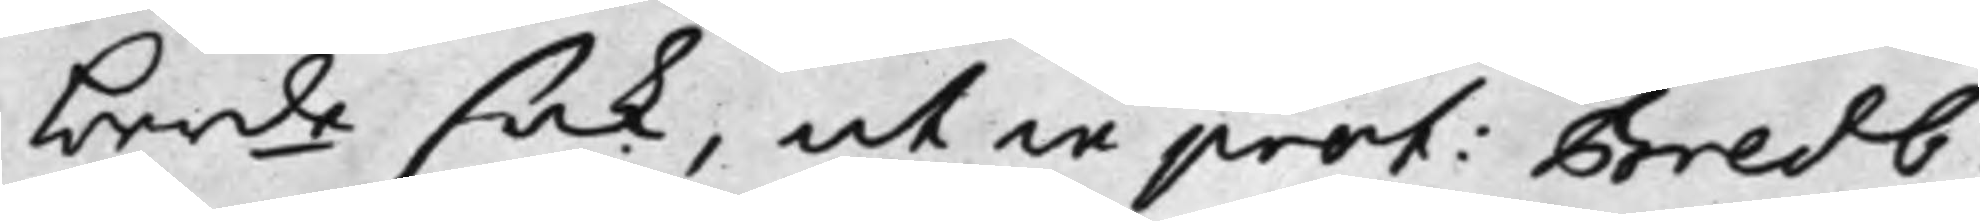berde sak, ut in prot: Bredb:
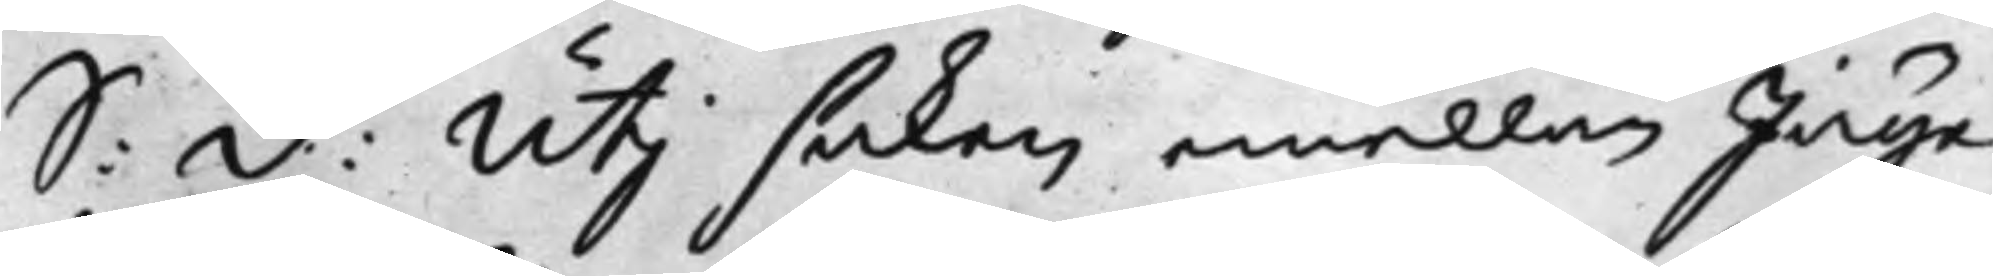S: D: Utj saken emellan Jäge¬
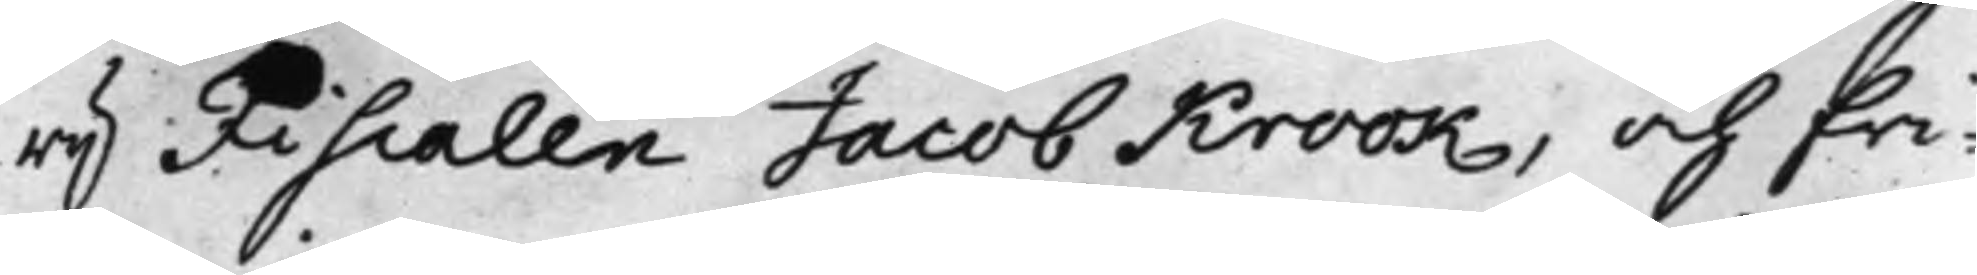rij Fiscalen Jacob Krook, och fri¬
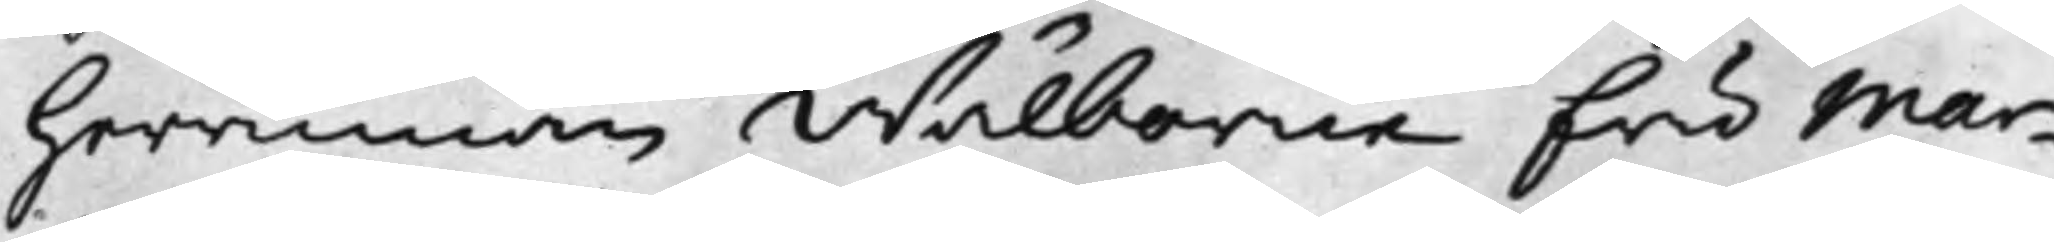herrinnan Wälborne fru Mar¬
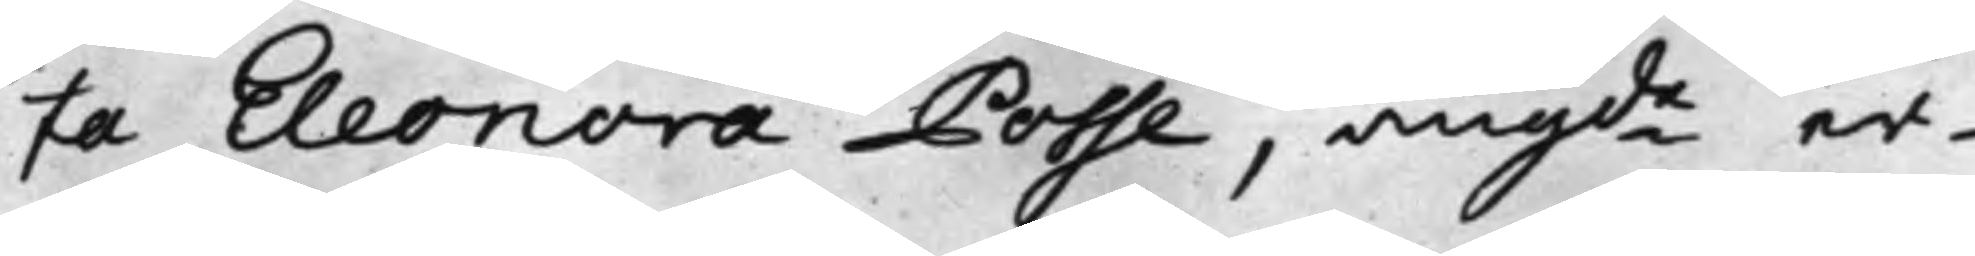ta Eleonora Posse, angde er¬
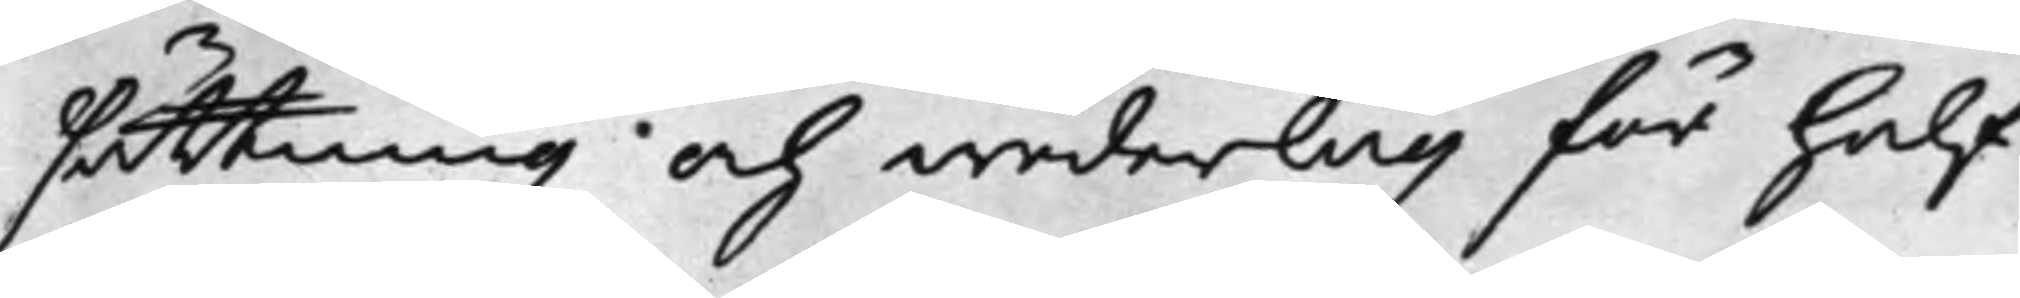sättning och wederlag för half¬
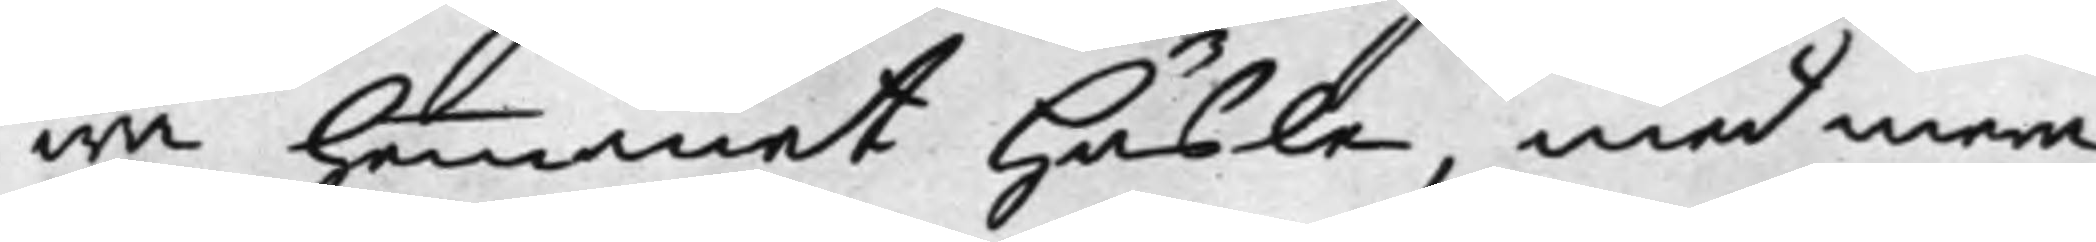wa hemmanet Häsle, med mera,
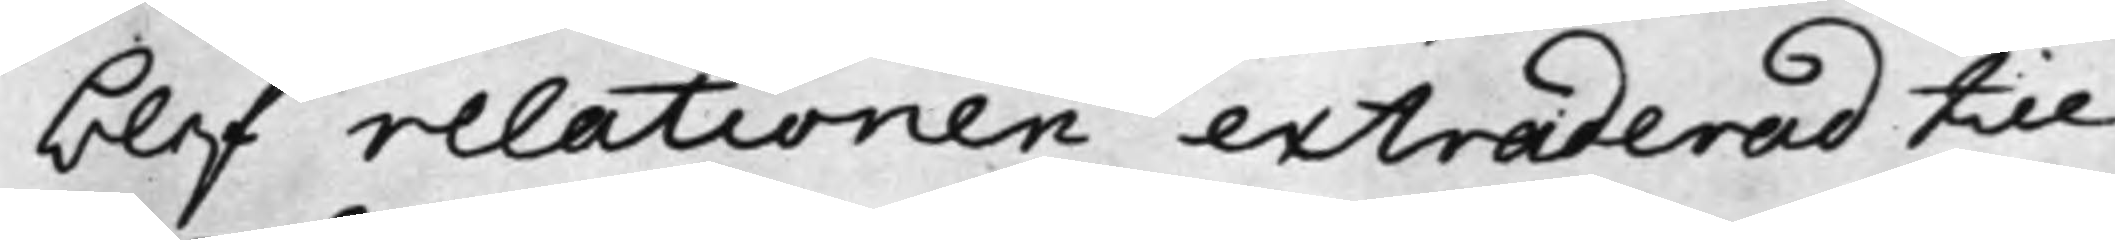blef relationen extraderad till
